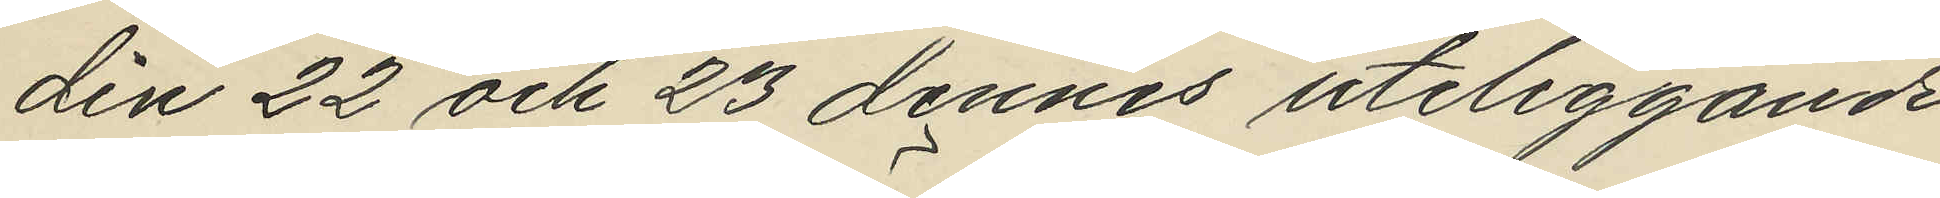din 22 och 23 dennes uteliggande
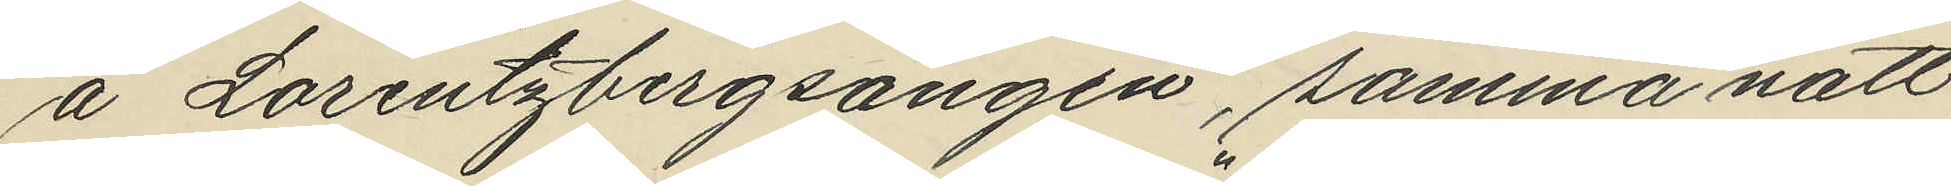å Lorentzbergsängen, samma natt
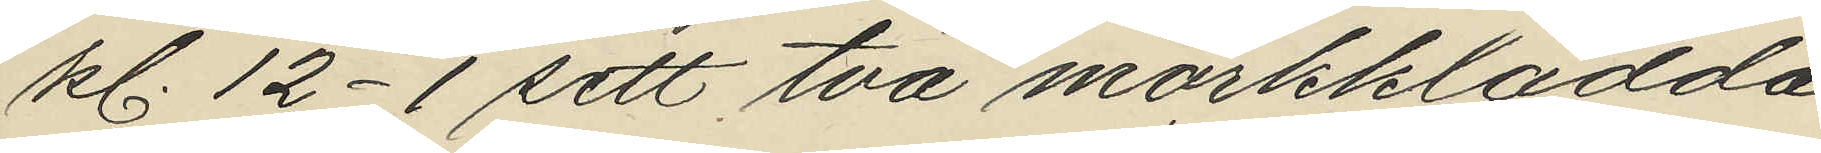kl. 12-1 sett två mörkklädda
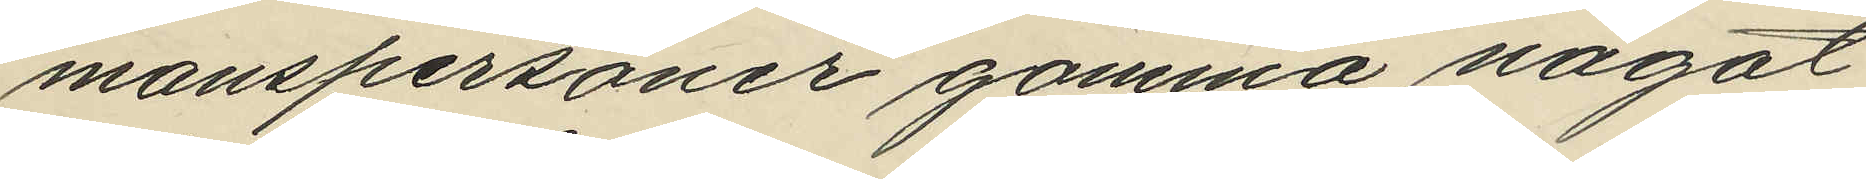manspersoner gömma något
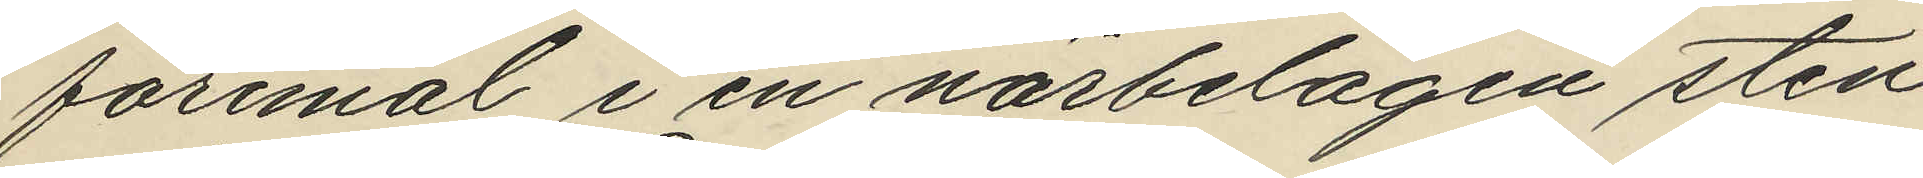föremål i en närbelägen sten¬
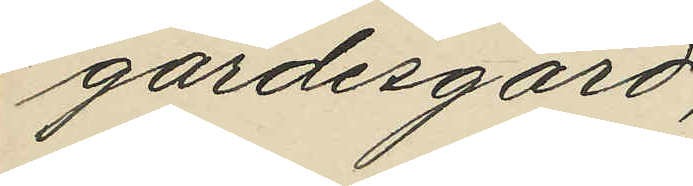gärdesgård;
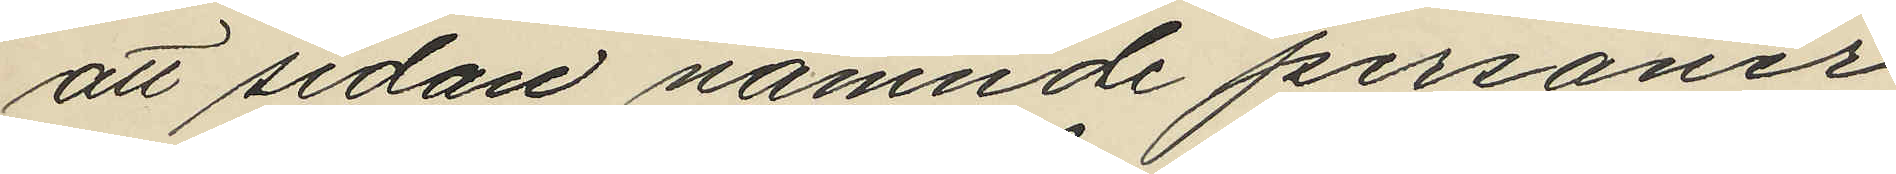att sedan namnde personer
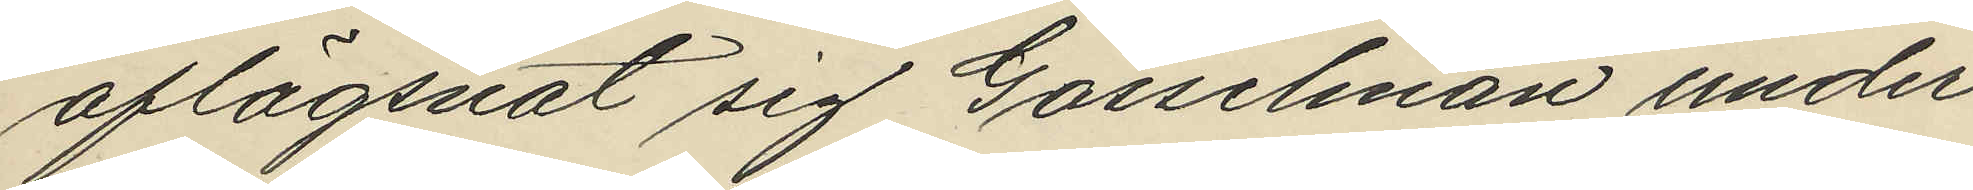aflägsnat sig Gosselman under¬
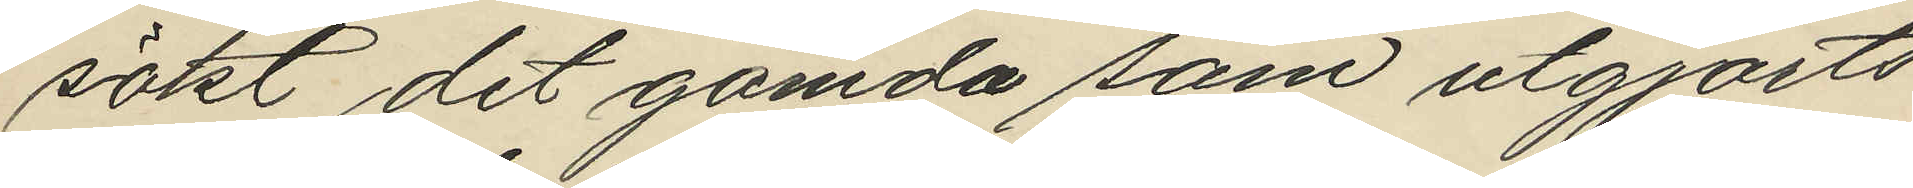sökt det gömda som utgjorts
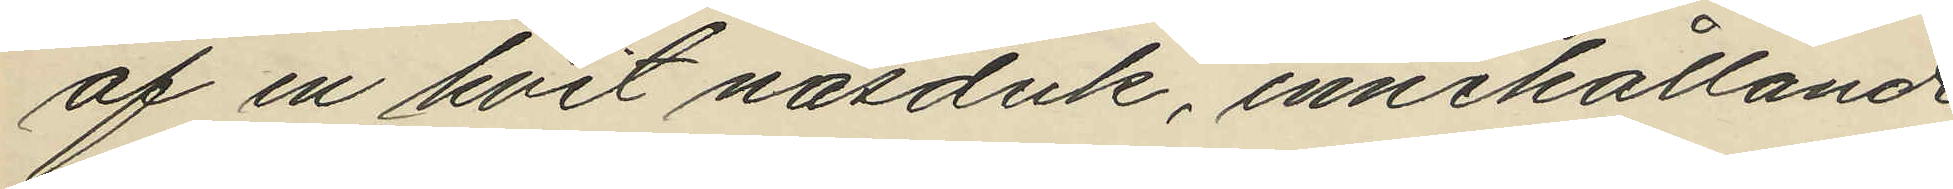af en hvit näsduk, innehållande
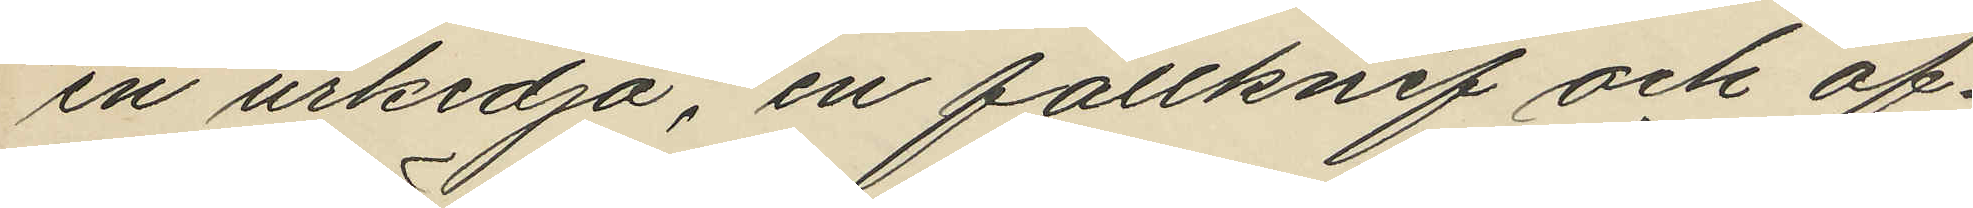en urkedja, en fällknif och of¬
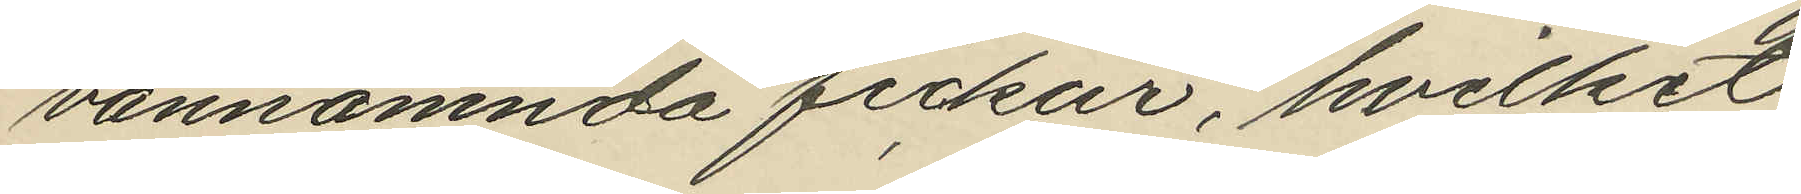vannämnda fickur, hvilket
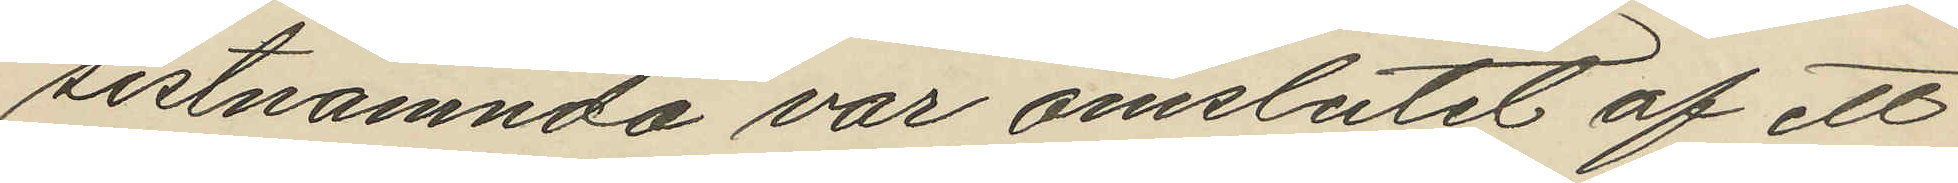sistnämnda var omslutet af ett
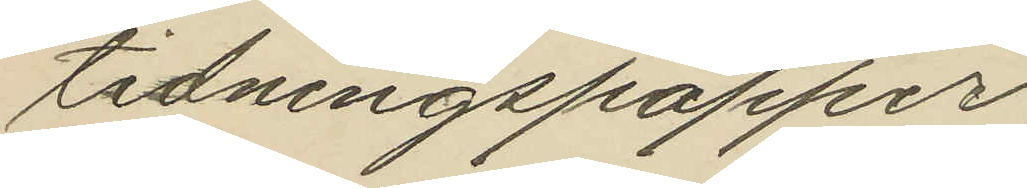tidningspapper;
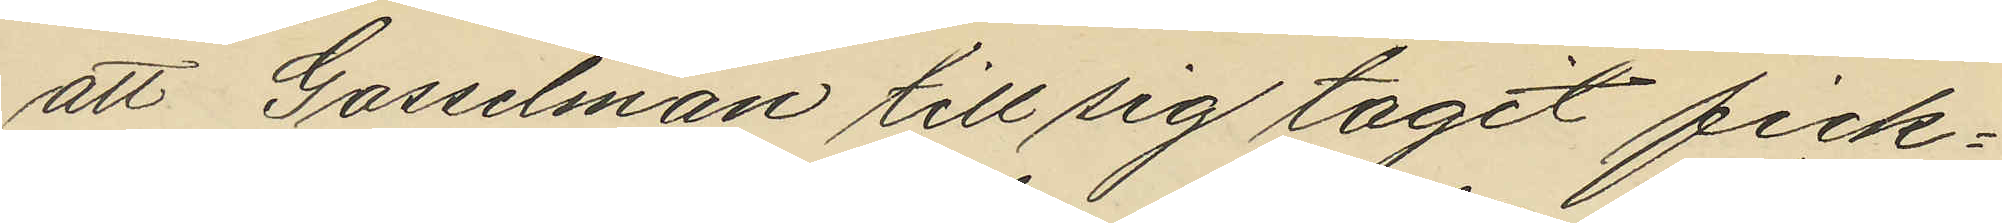att Gosselman till sig tagit fick¬
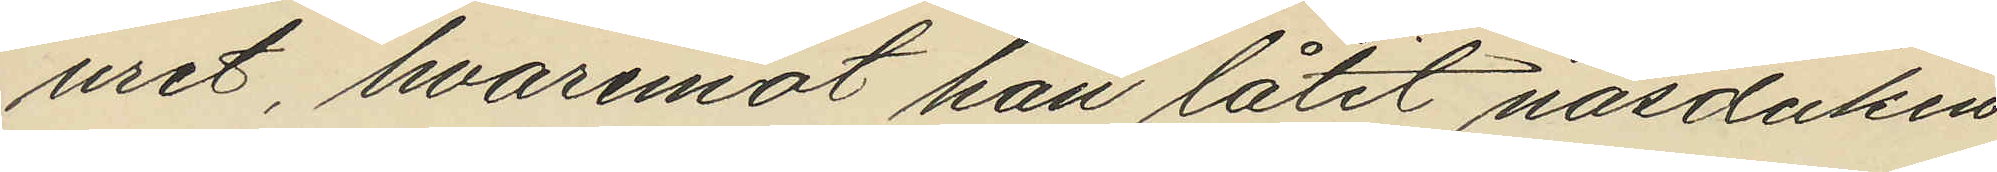uret, hvaremot han låtit näsduken
